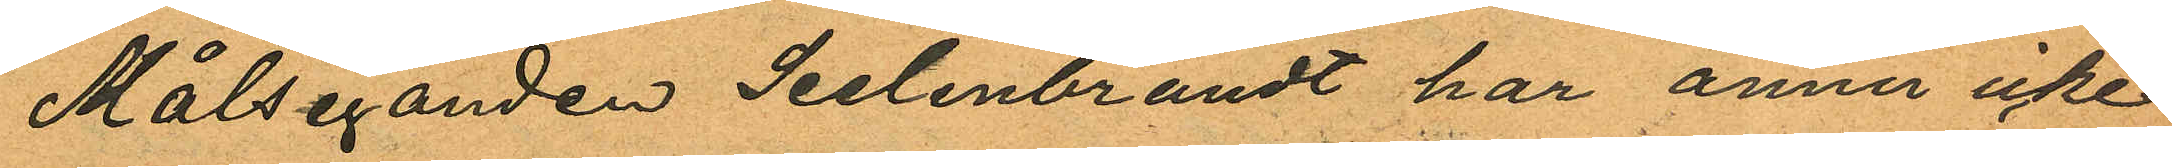Målseganden Seelenbrandt har ännu icke
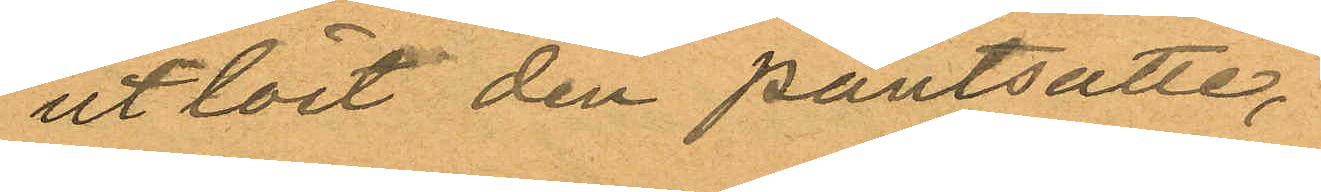utlöst den pantsatte,
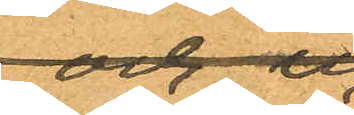rocken
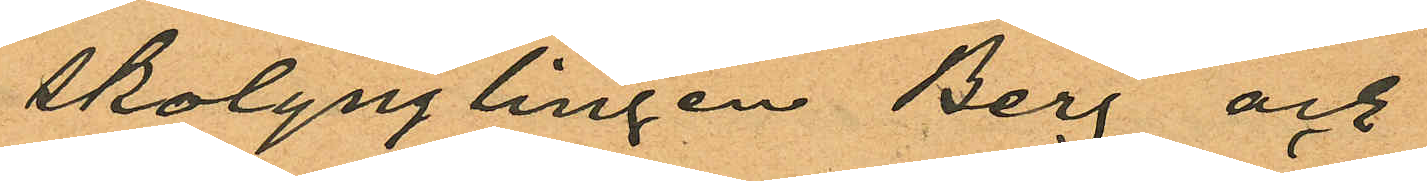skolynglingen Berg och
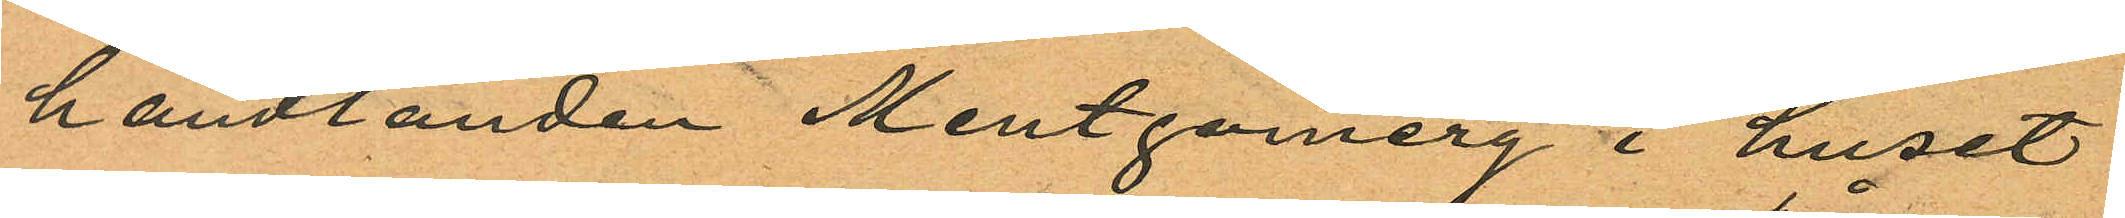handlanden Montgomery i huset
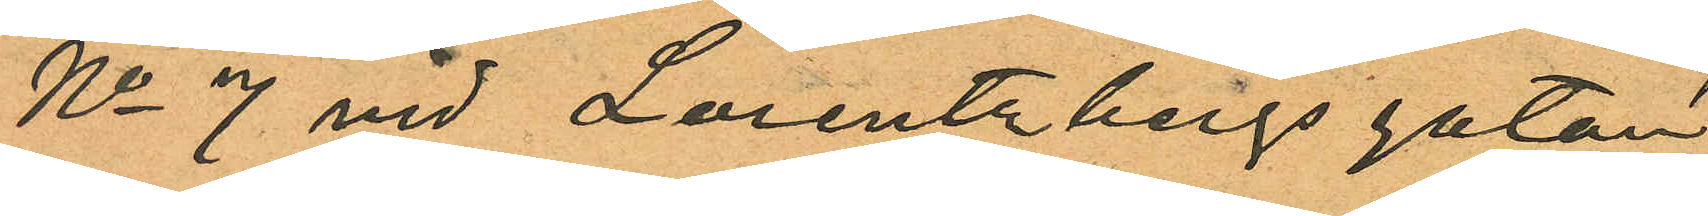No 7 vid Lorentzbergsgatan
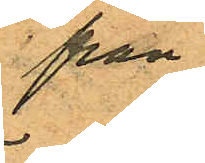från¬
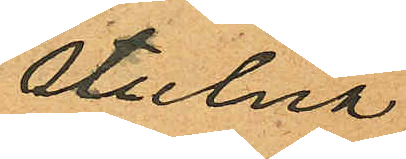stulna
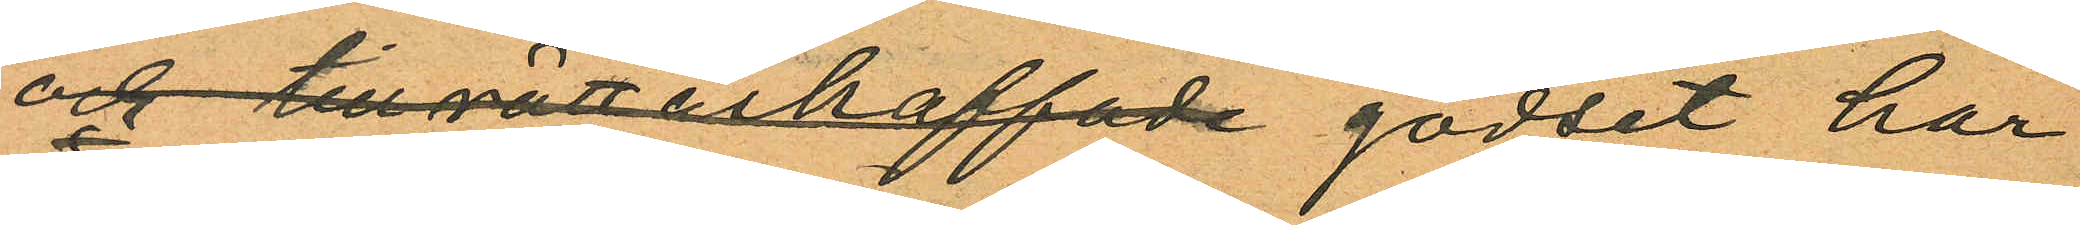och tillrättaskaffade godset har
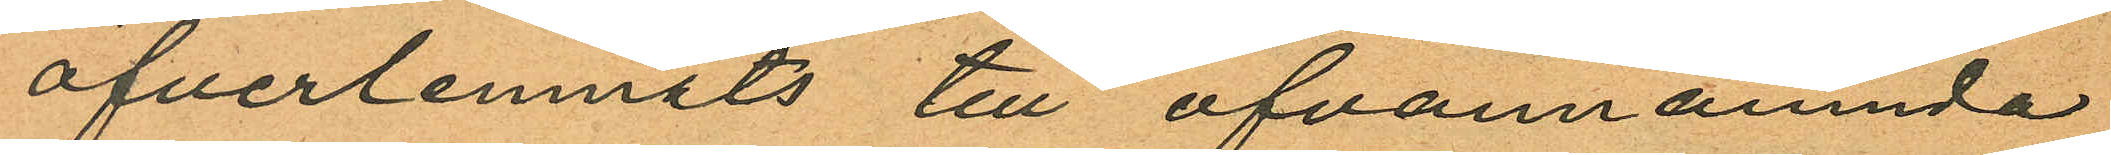öfverlemnats till ofvannämnda
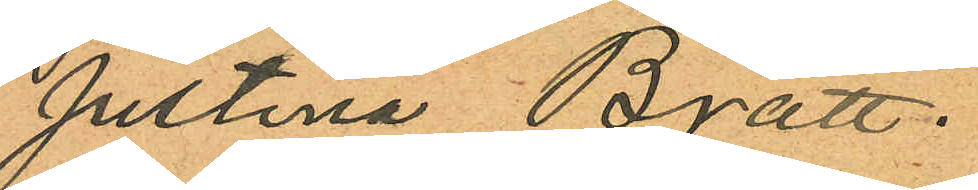Justina Bratt.
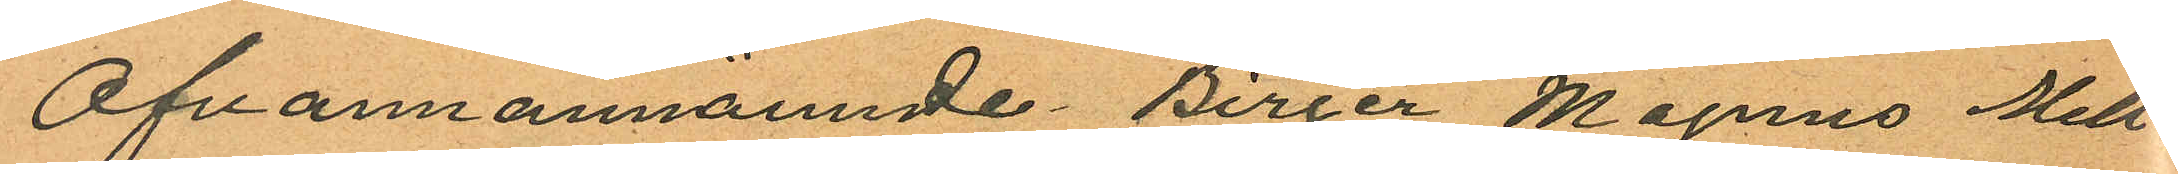Ofvamannämnde Birger Magnus Mell¬
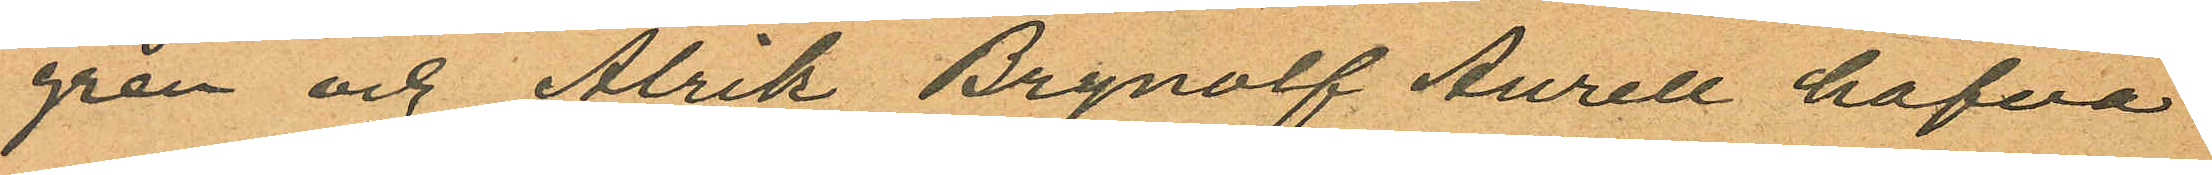gren och Alrik Brynolf Aurell hafva
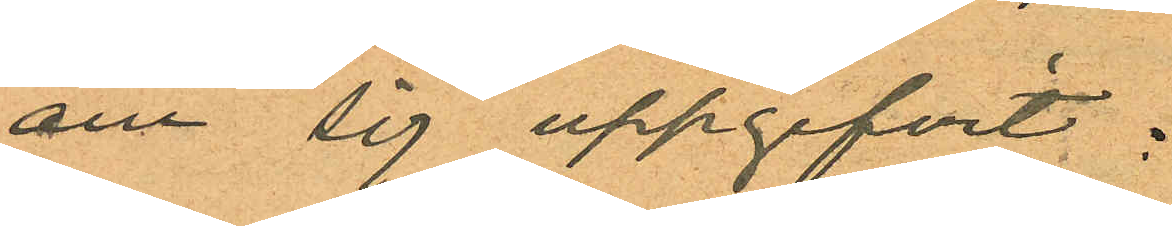om sig uppgifvit:
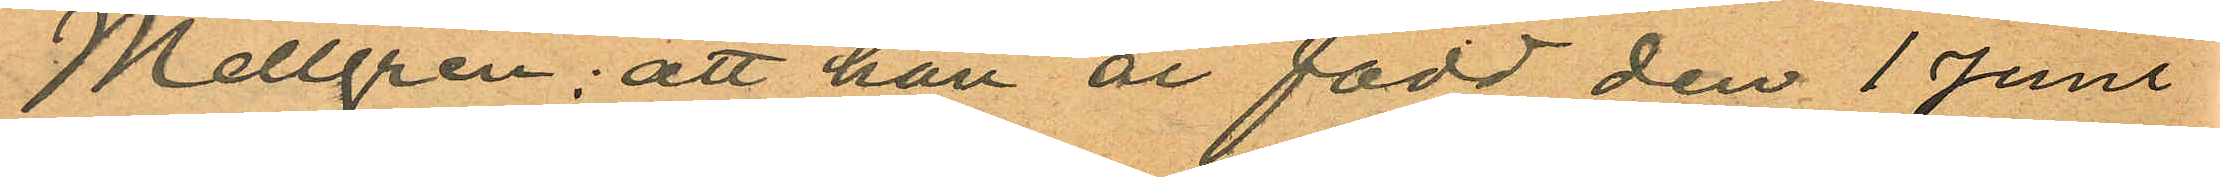Mellgren; att han är född den 1 Juni
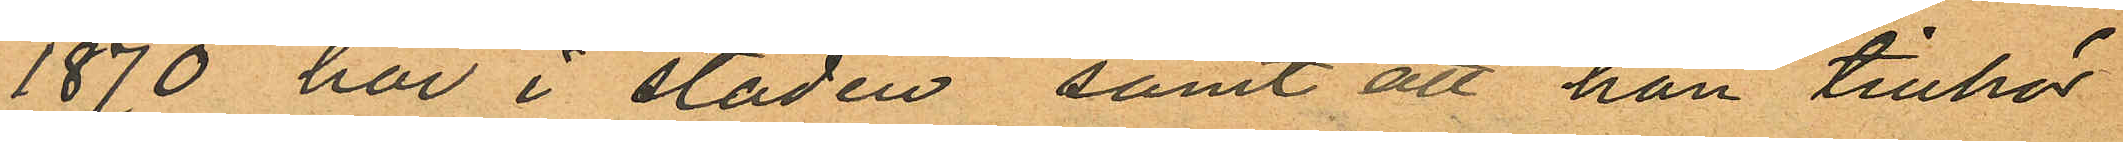1870 här i staden, samt att han tillhör
